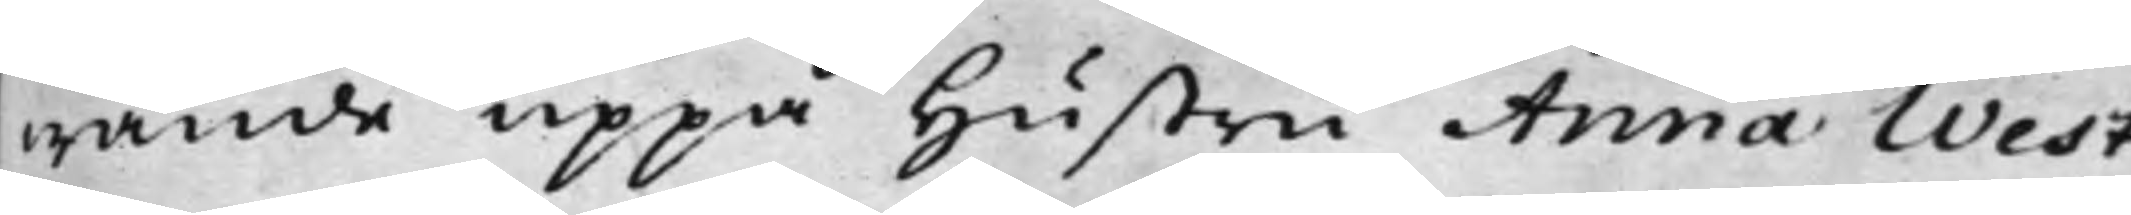wande uppå Hustru Anna West¬
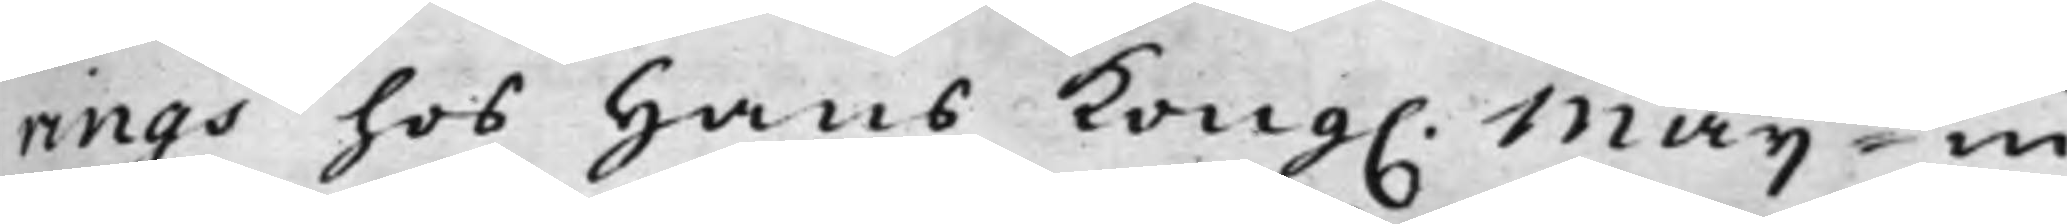rings hos hans Kong. Maijt in¬
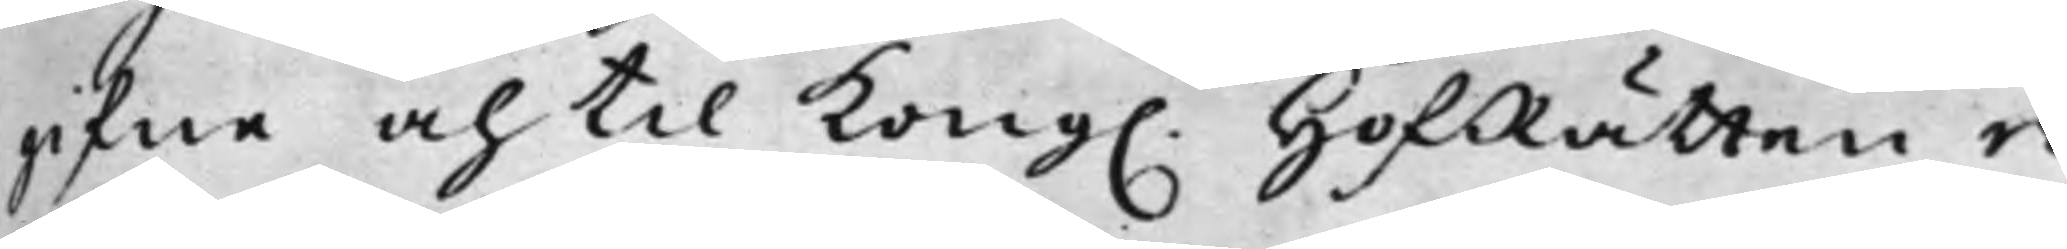gifne och til Kong. HofRätten re¬
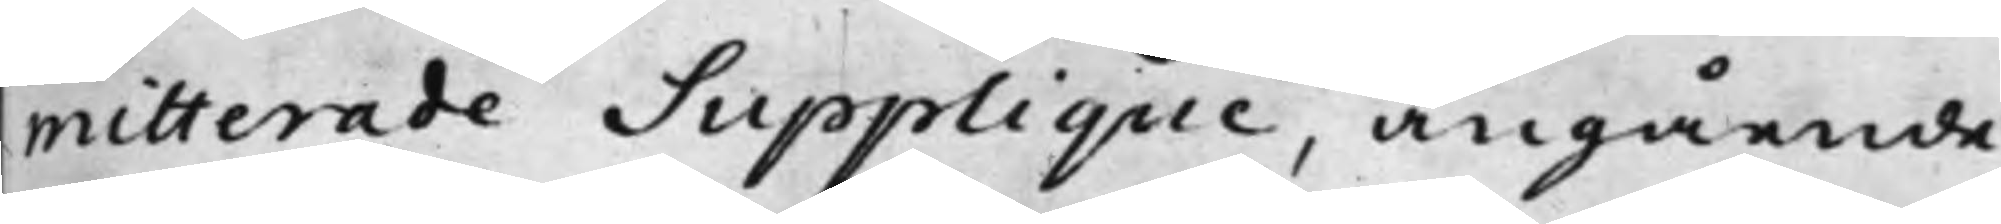mitterade Supplique, angående
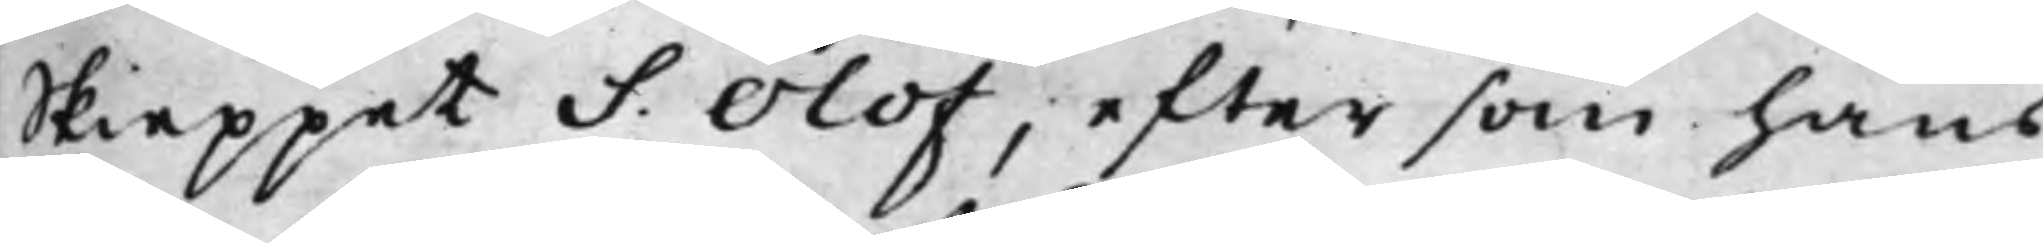Skieppet S. Olof, efter som hans
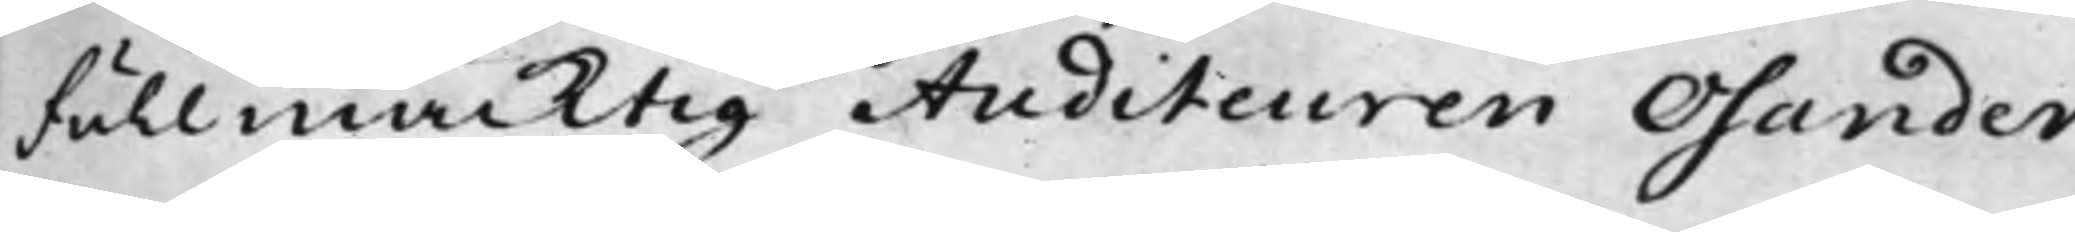Fullmäcktig Auditeuren Osander,
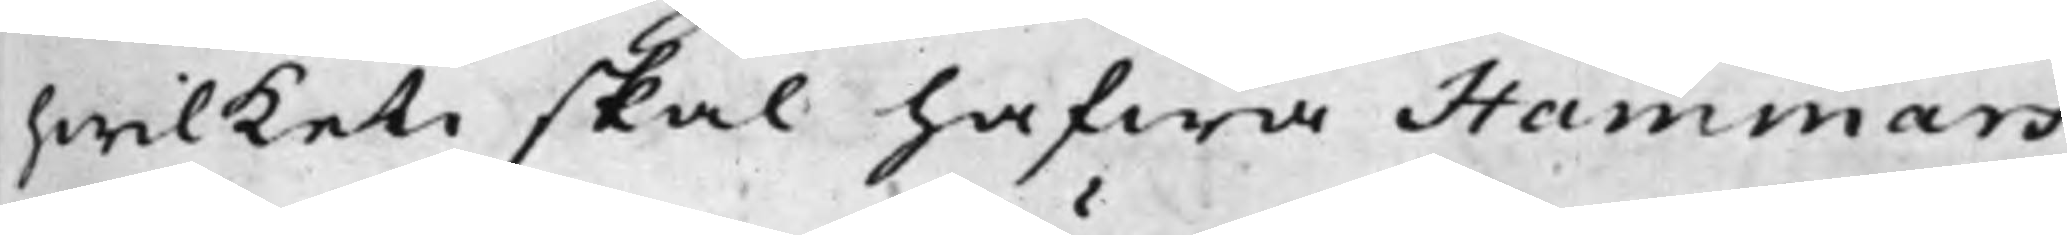hwilket skal hafwa Hammars
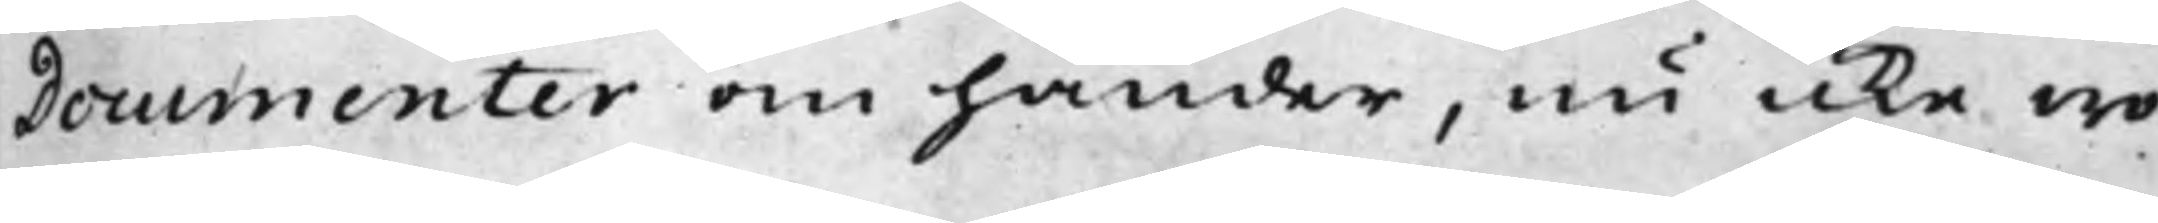Documenter om händer, nu icke wo¬
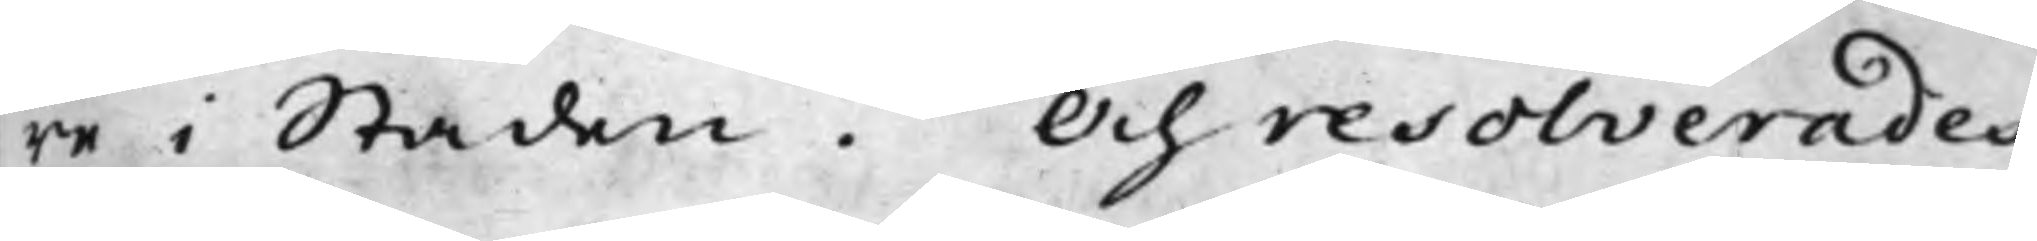re i Staden. Och resolverades,
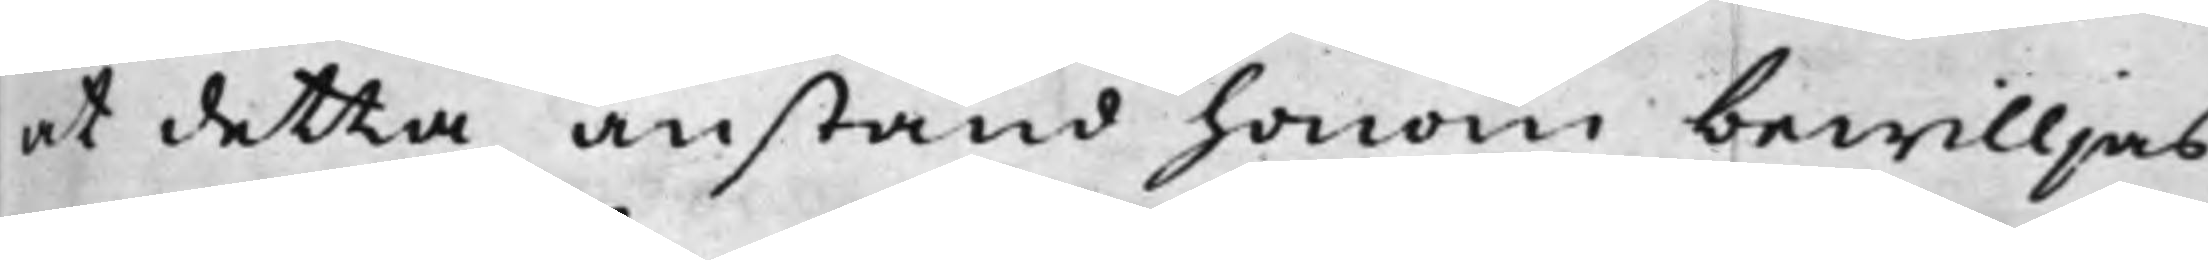at detta anstånd honom bewilljas,
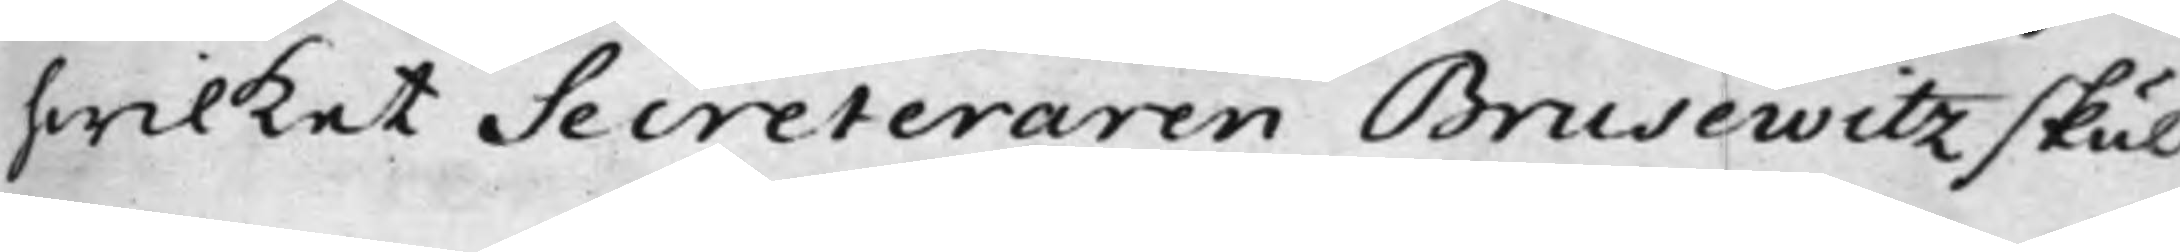hwilket Secreteraren Brusewitz skul¬
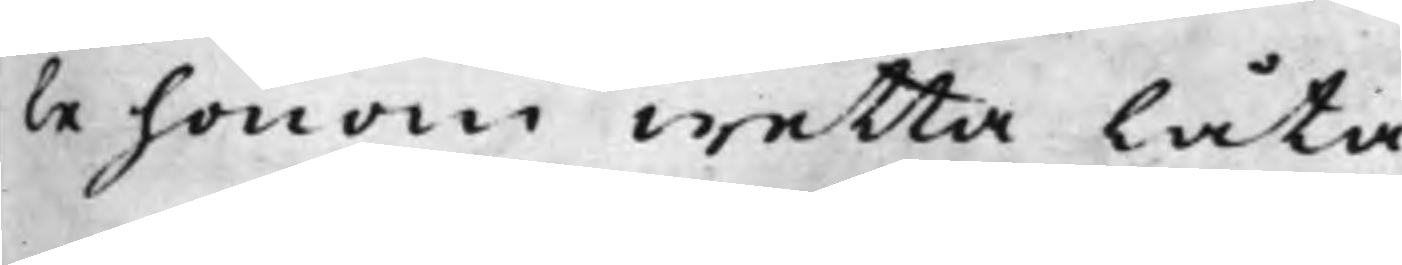le honom wetta låta.
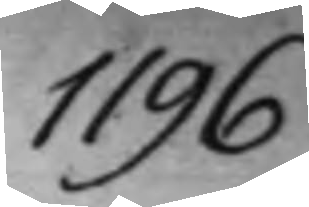1196.
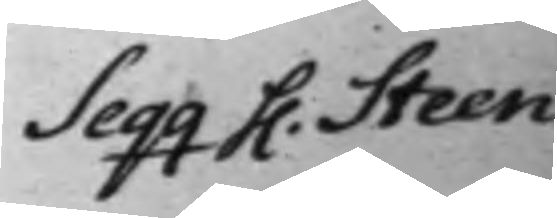Seqq h. Steen.
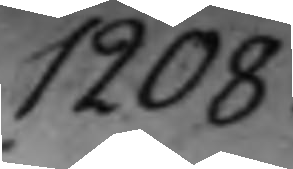1208.
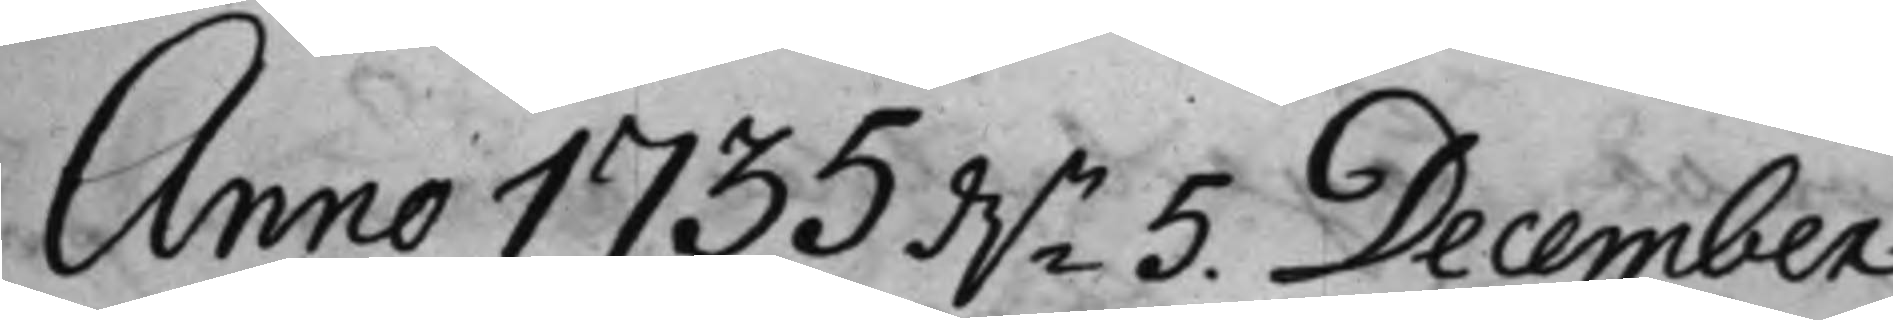Anno 1735 d.n 5. December
